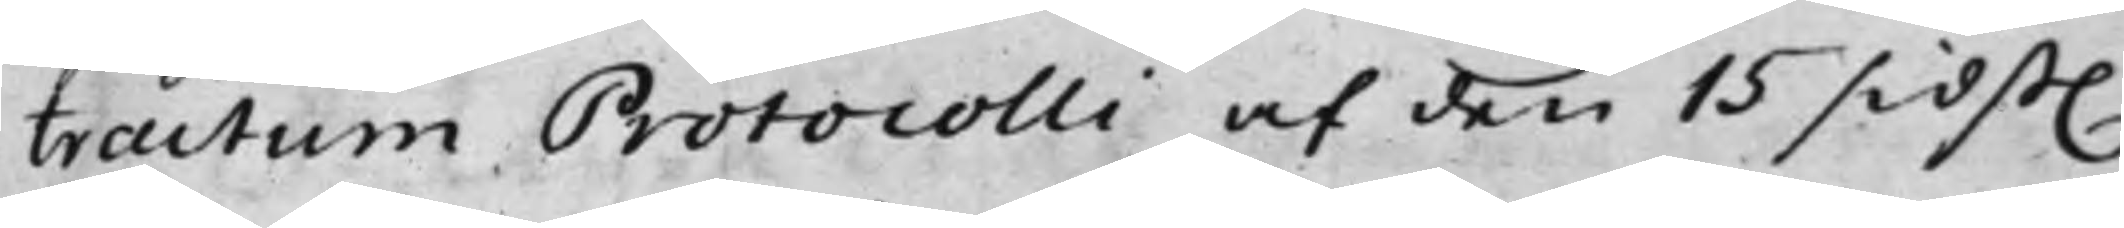tractum Protocolli af den 15 sidst.
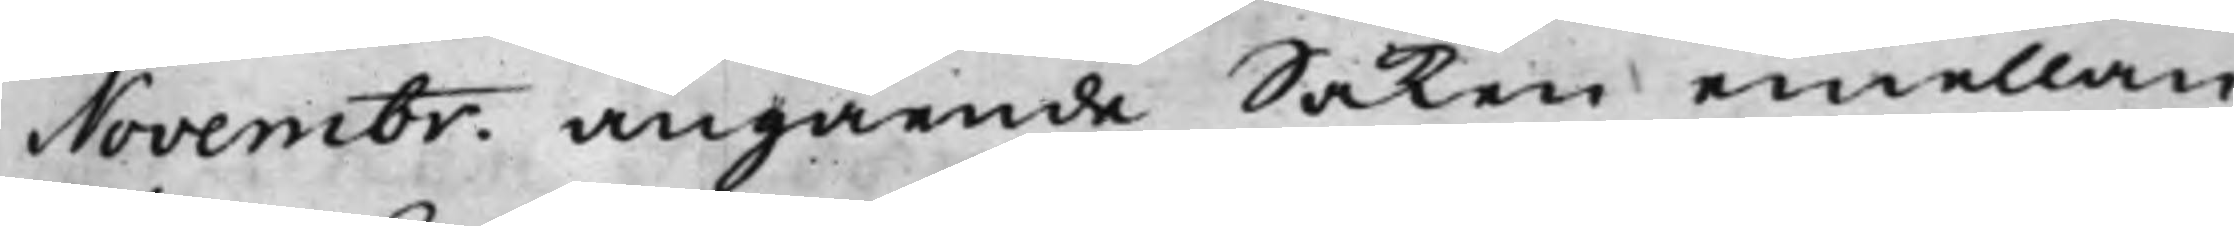Novembr angående Saken emellan
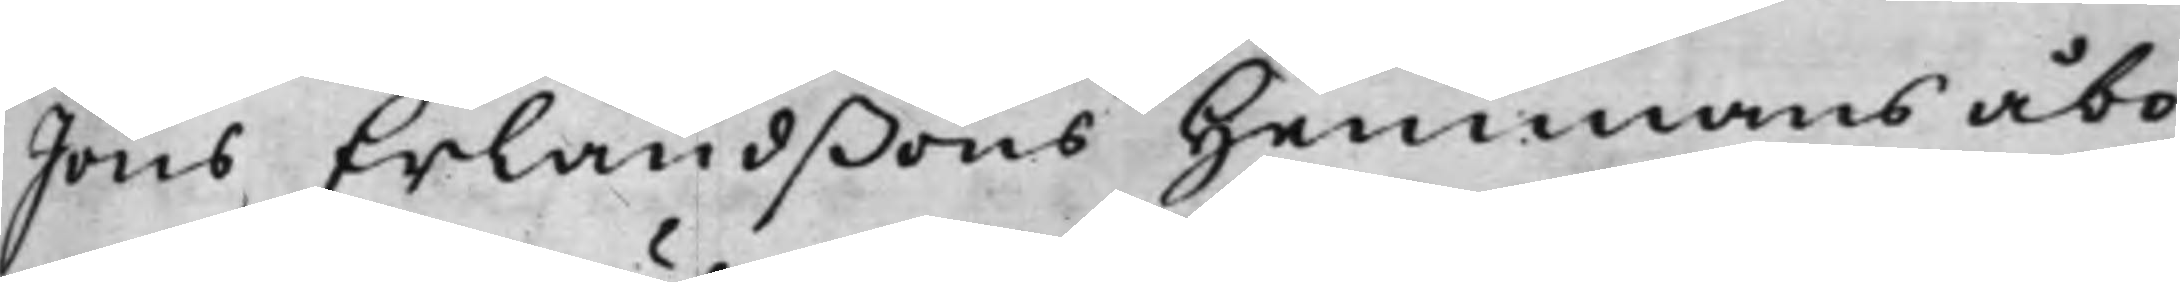Jöns Erlandßons hemmans åbo¬
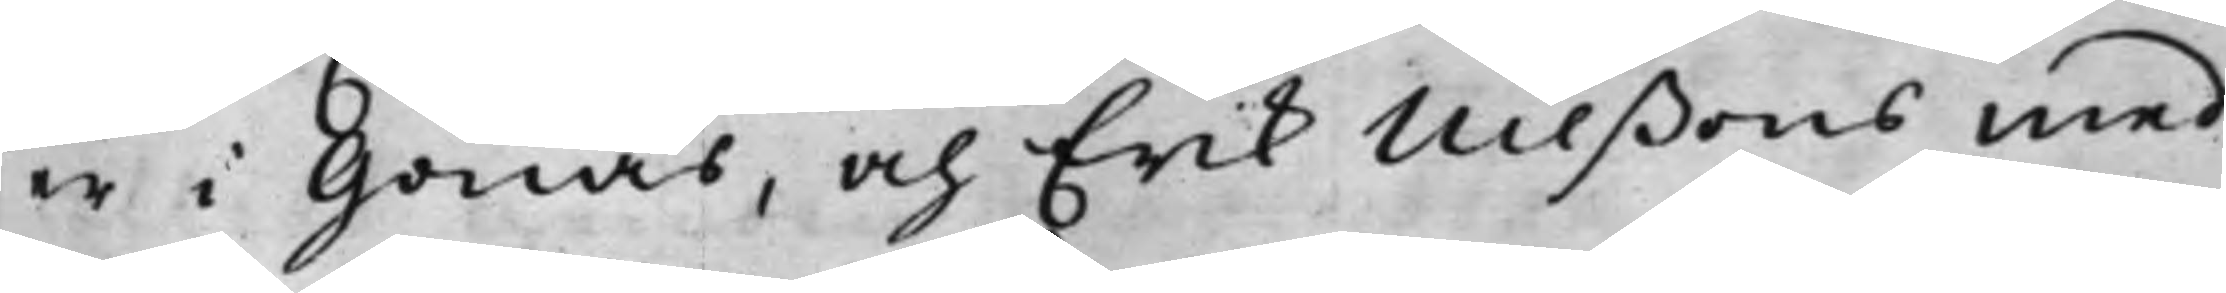er i Gonäs, och Erik Nilßons med
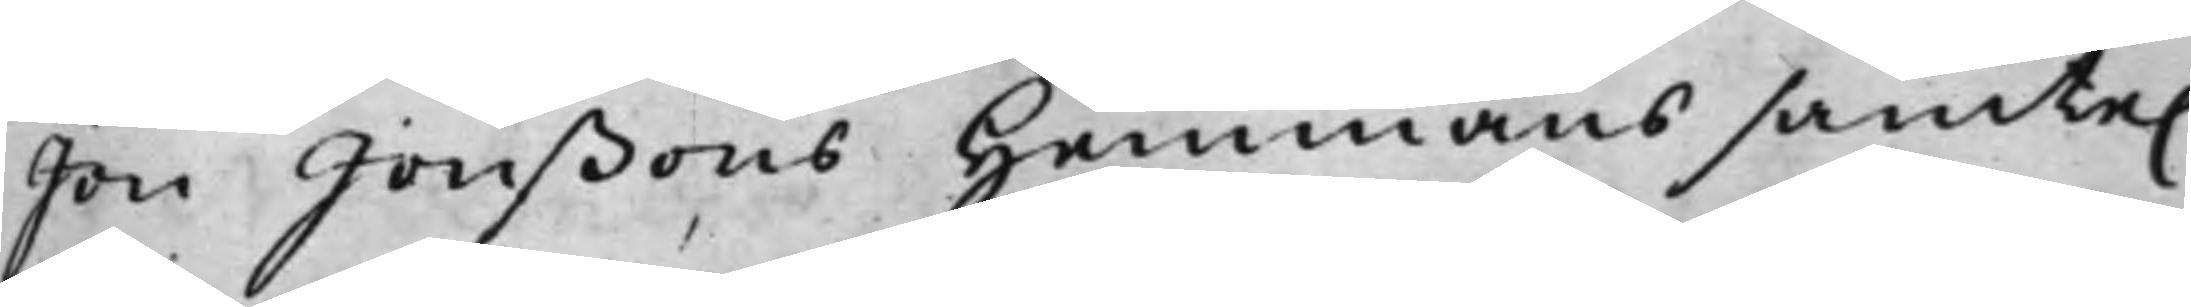Jon Jonßons hemmans samte.
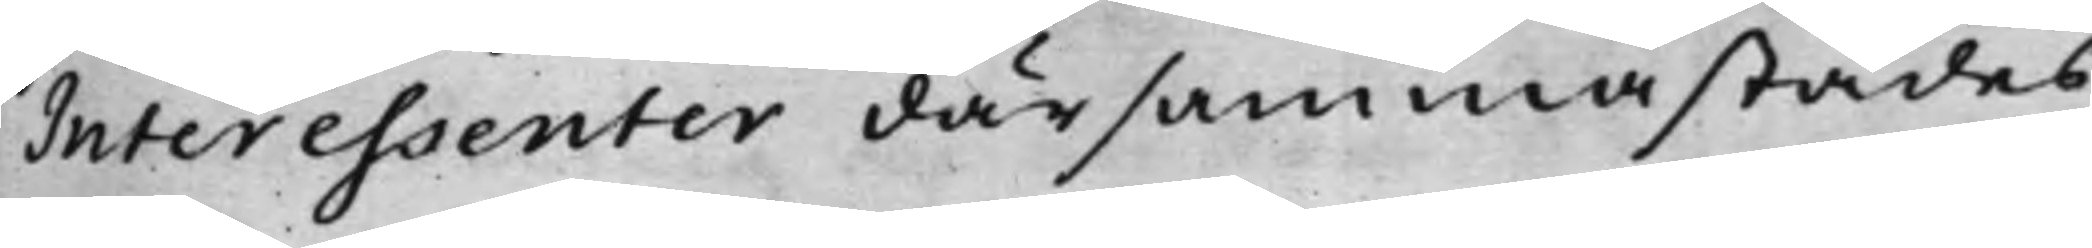Interessenter därsammastädes.
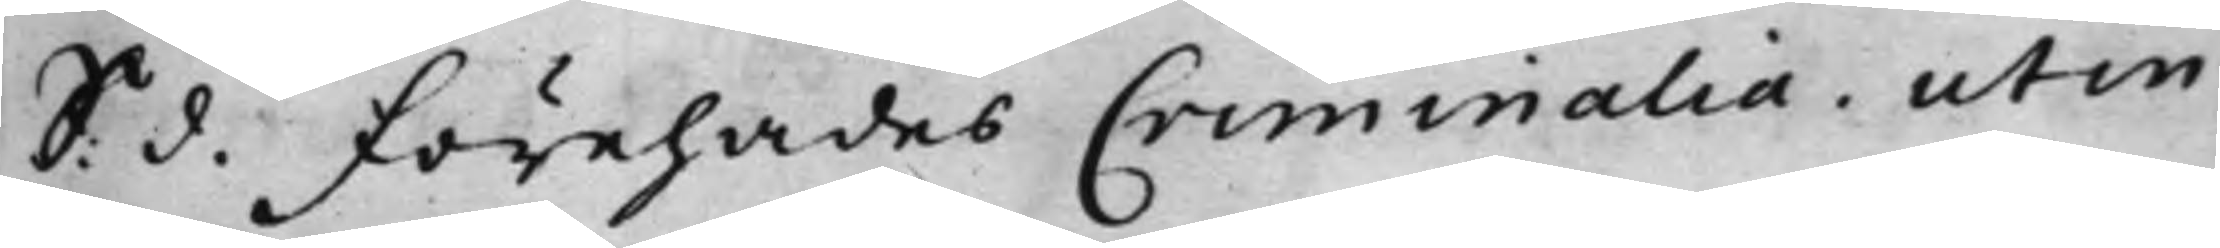S: d. Förehades Criminalia, ut in
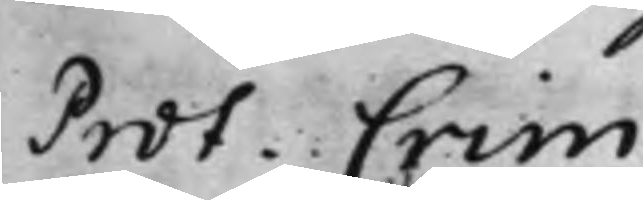Prot. Crim.
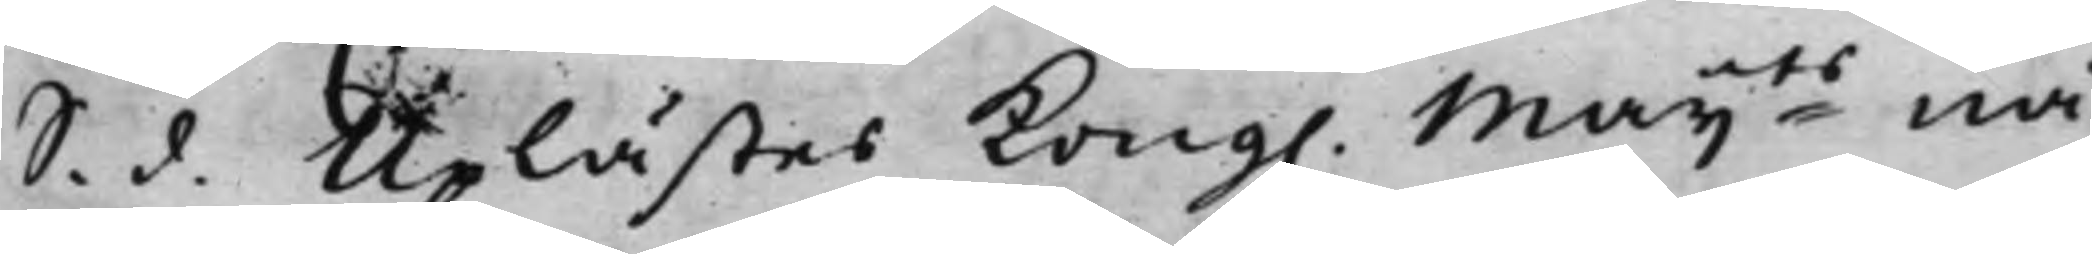S. d. Uplästes Kong. Maijts nå¬
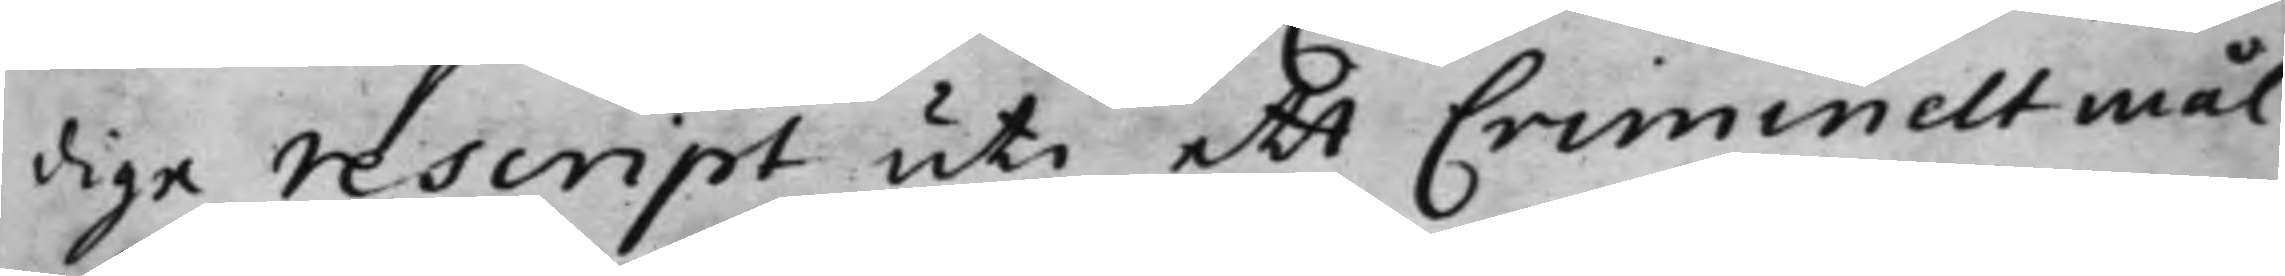dige rescript uti ett Criminelt mål,
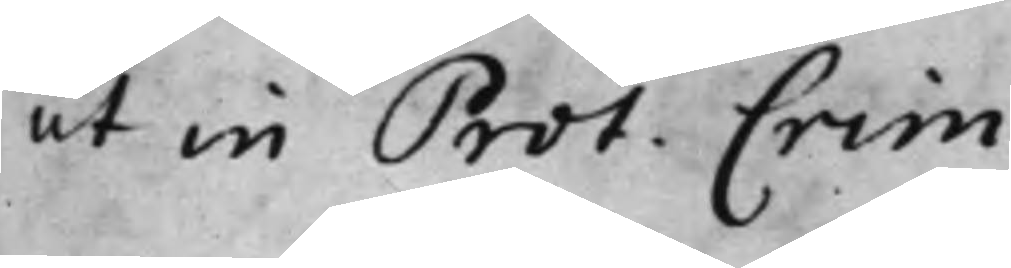ut in Prot. Crim.
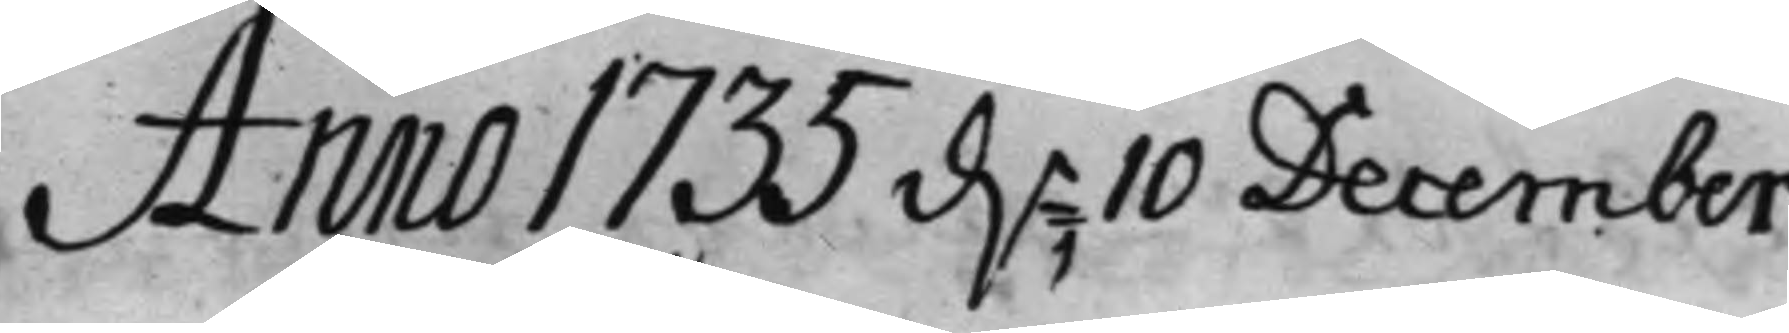Anno 1735 d.n 10 December
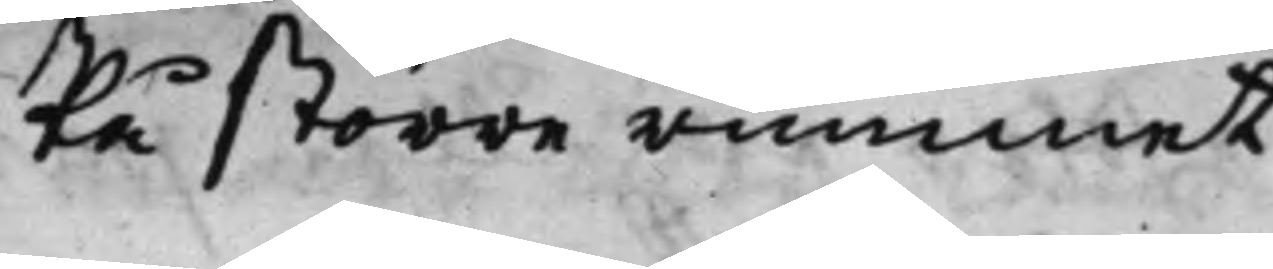På större rummet.
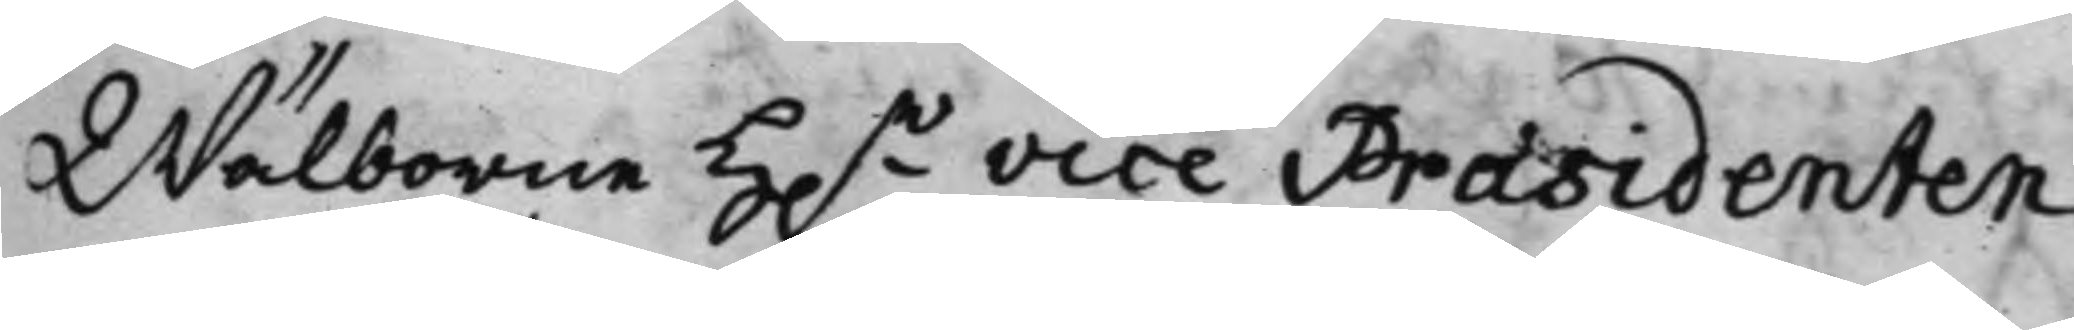Wälborne H.r Vice Præsidenten
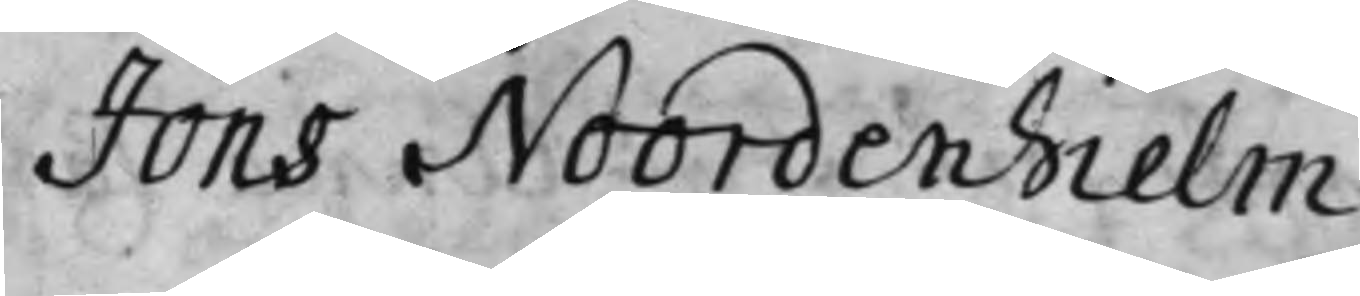Jöns Noordenhielm
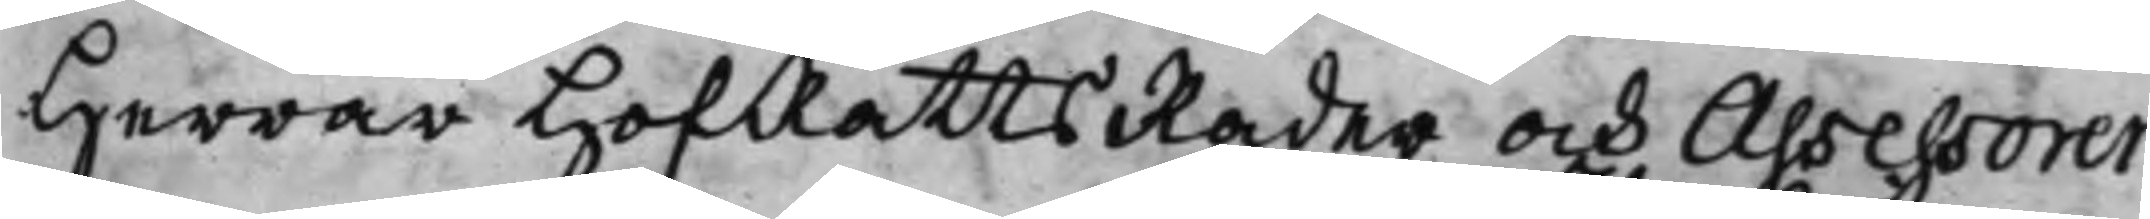Herrar HofRättsRåder och Assessorer
